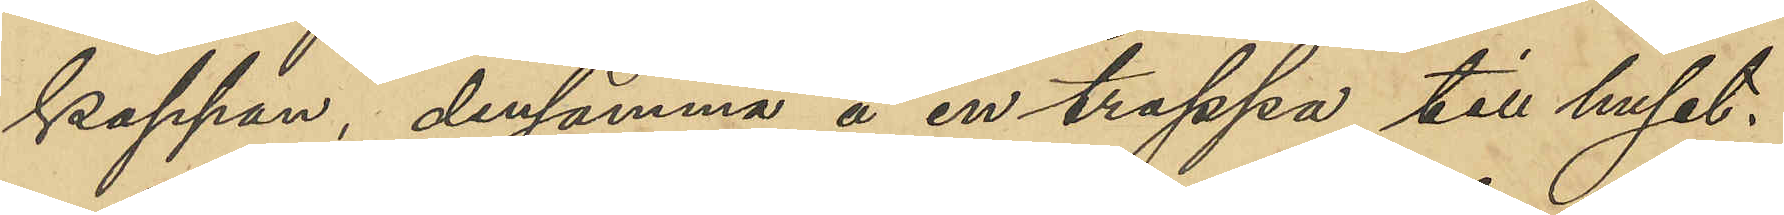kappan, densamma å en trappa till huset.
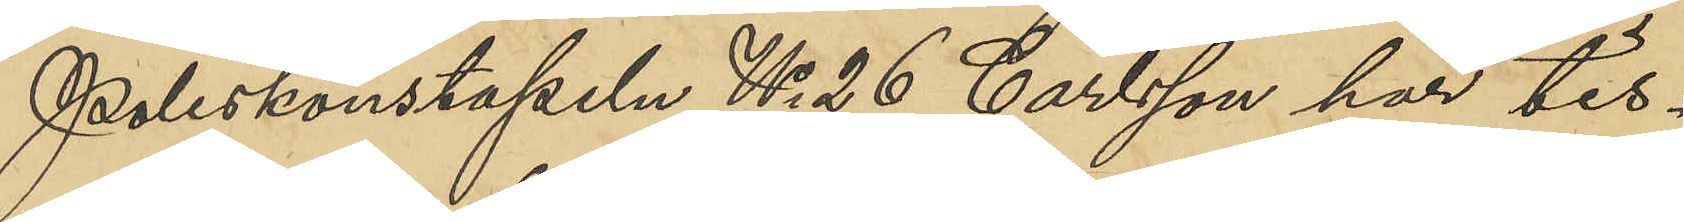Poliskonstapeln No 26 Carlsson har tis¬
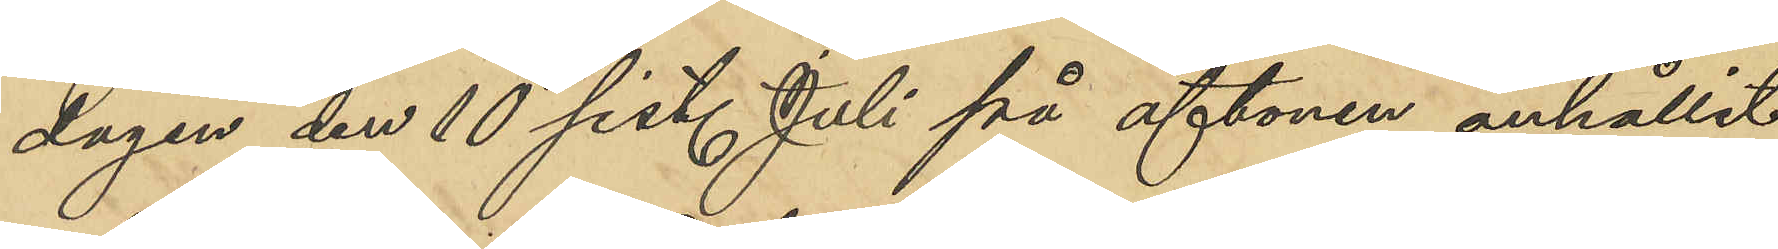dagen den 10 sist. Juli på aftonen anhållit
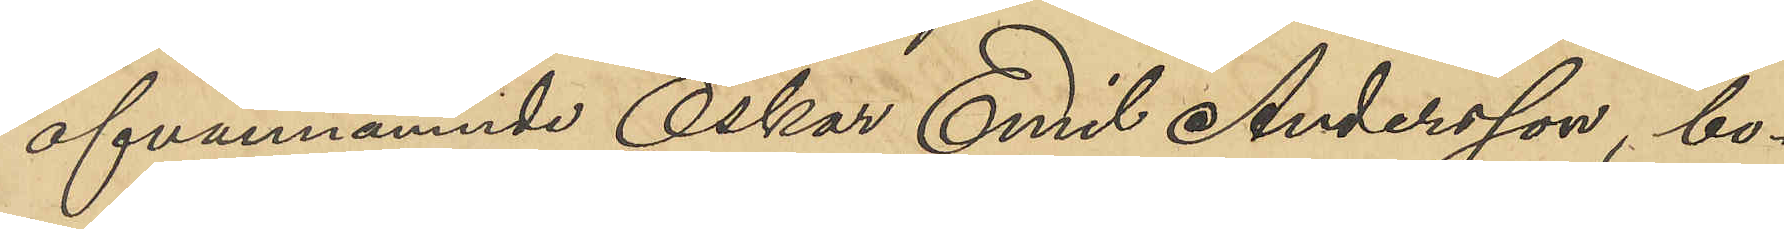ofvannämnde Oskar Emil Andersson, bo¬
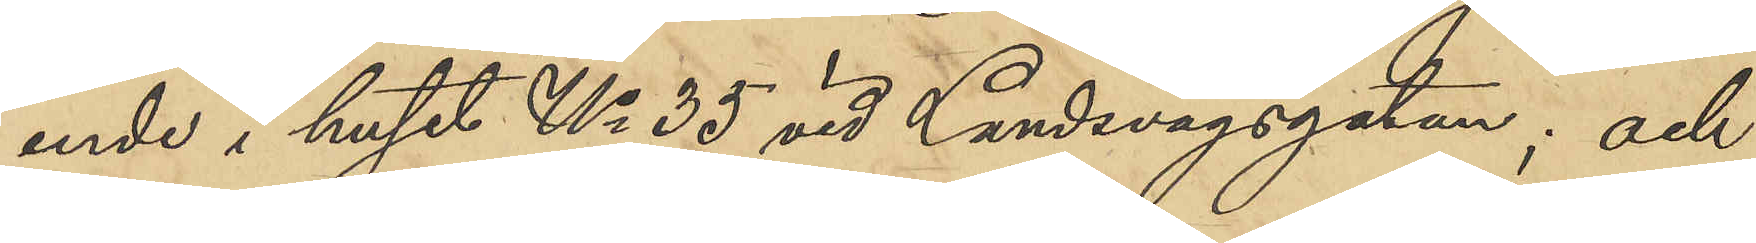ende i huset No 35 vid Landsvägsgatan; och
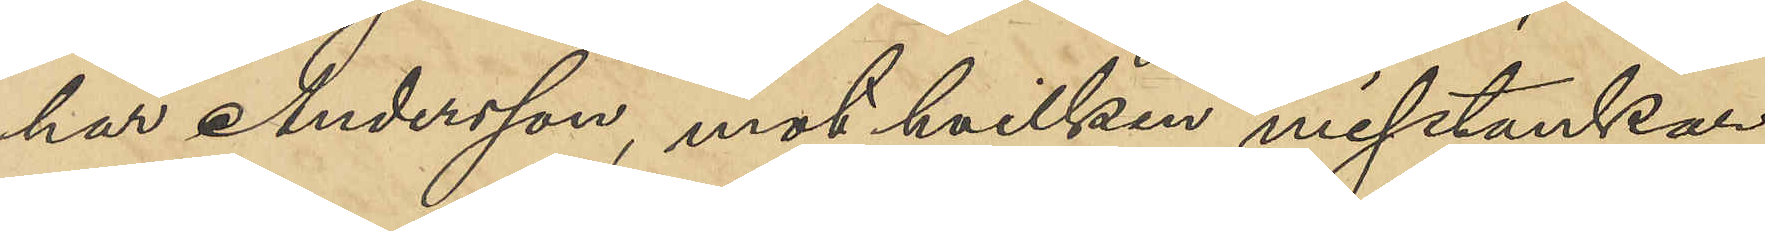har Andersson, mot hvilken misstankar
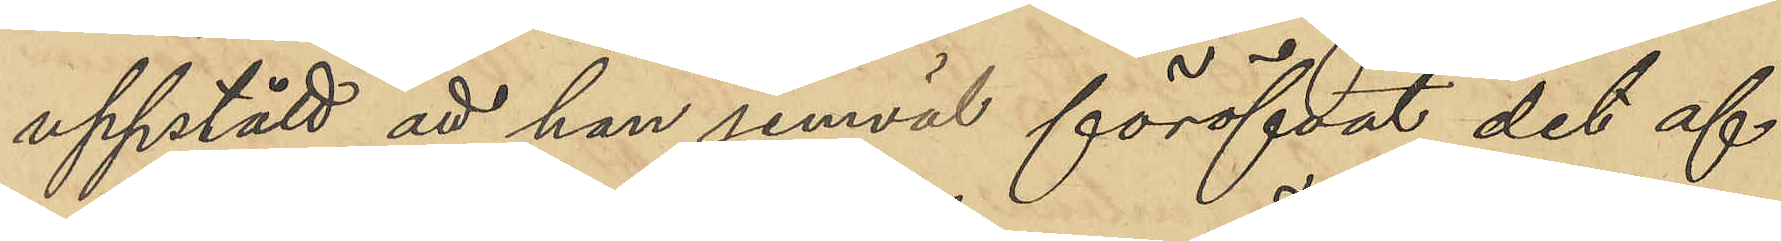uppstått att han jemväl föröfvat det af
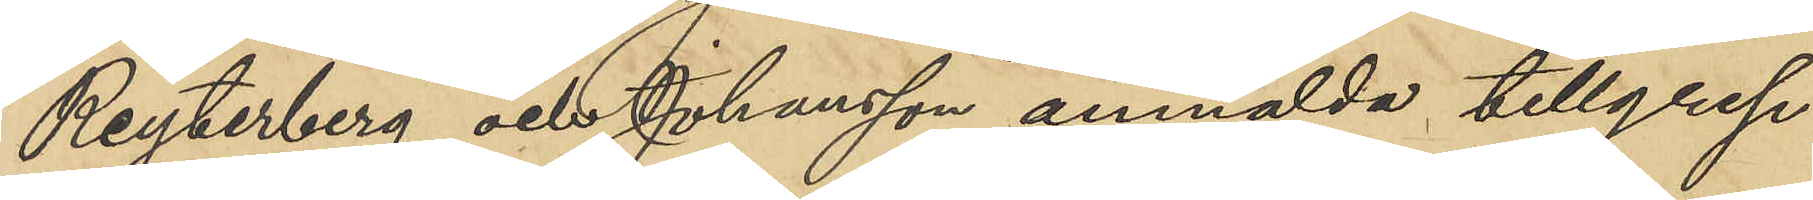Reyterberg och Johansson anmäla tillgrep¬
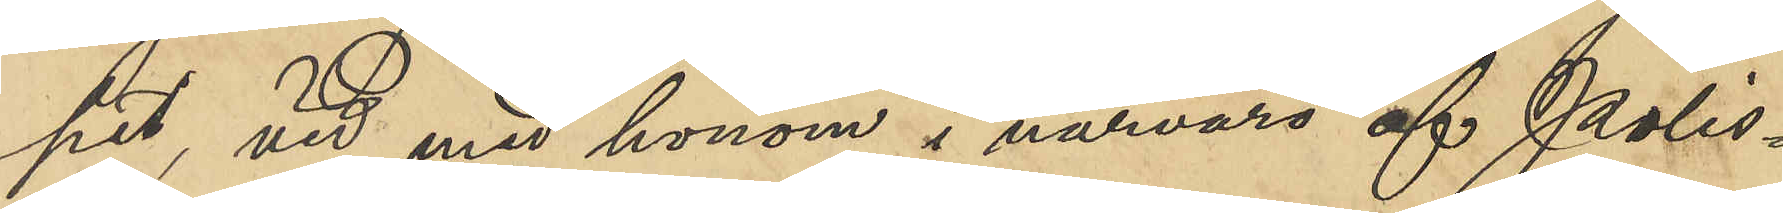pet vid med honom i närvaro af Polis¬
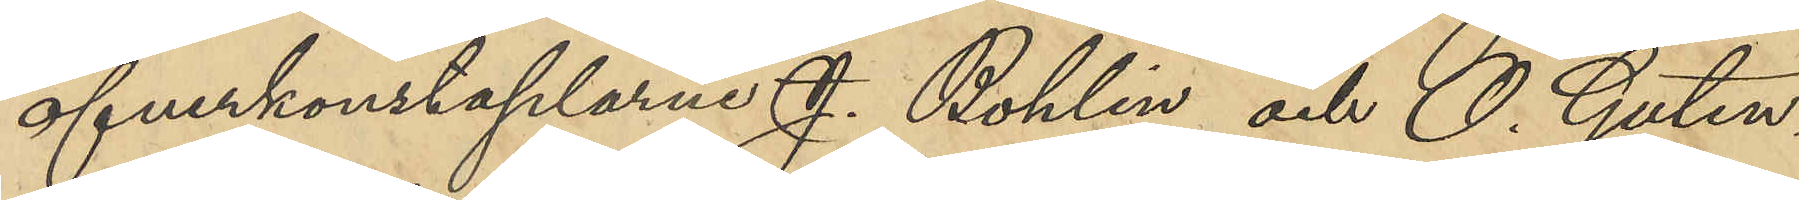öfverkonstaplarne J. Bohlin och O. Guten¬
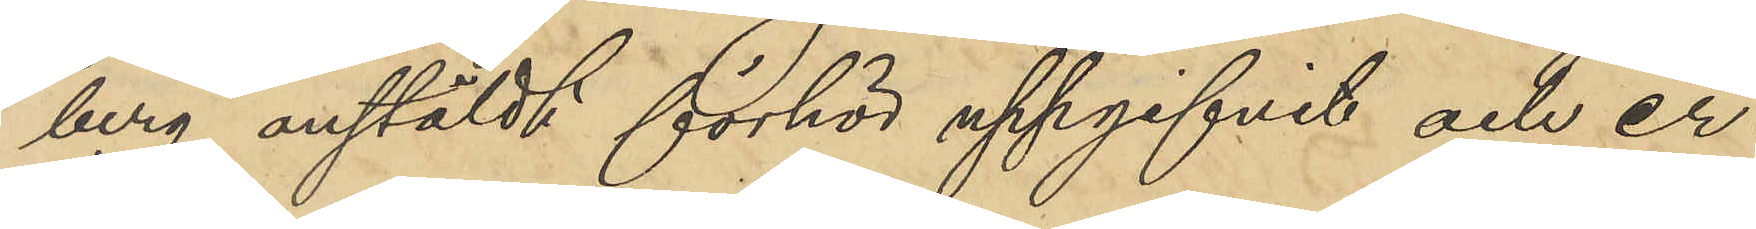berg anstäldt förhör uppgifvit och er¬
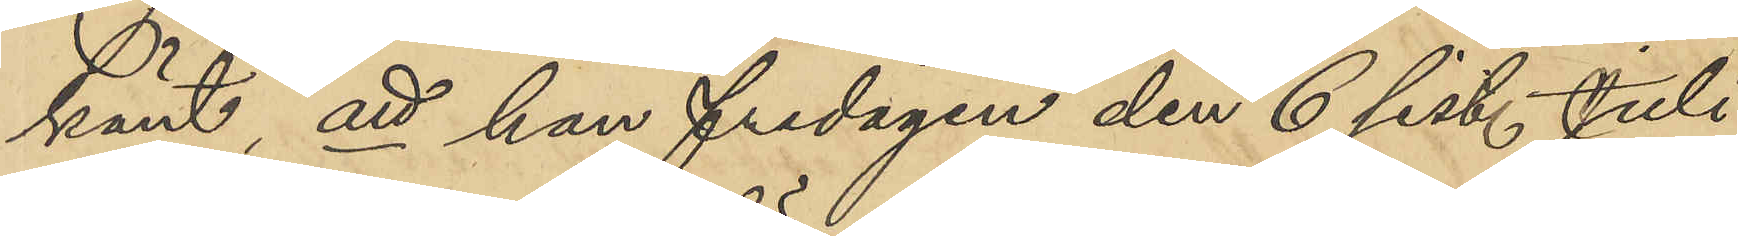känt, att han fredagen den 6 sist. Juli
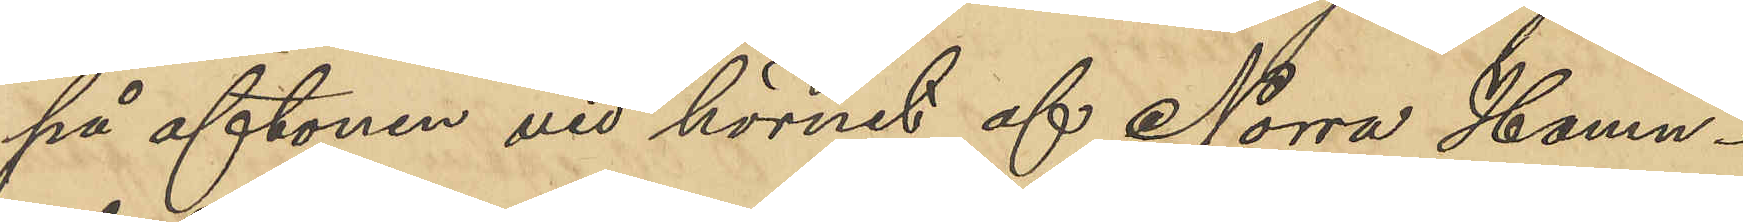på aftonen vid hörnet af Norra Hamn-
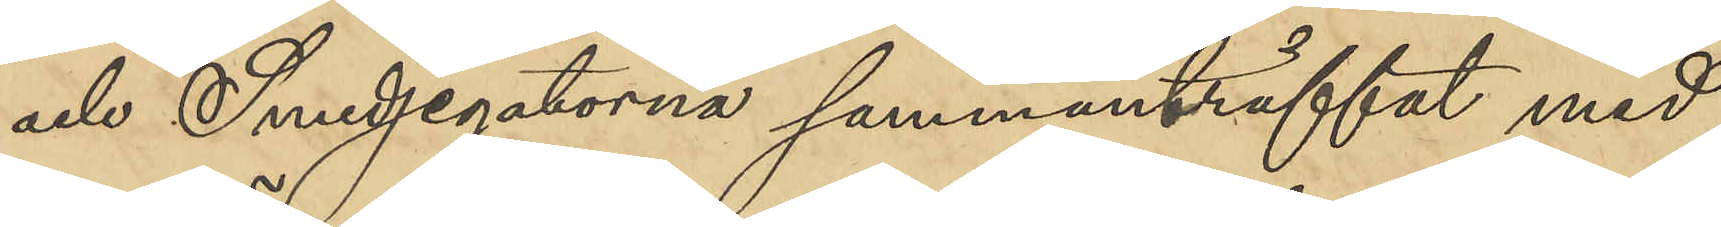och Smedjegatorna sammanträffat med
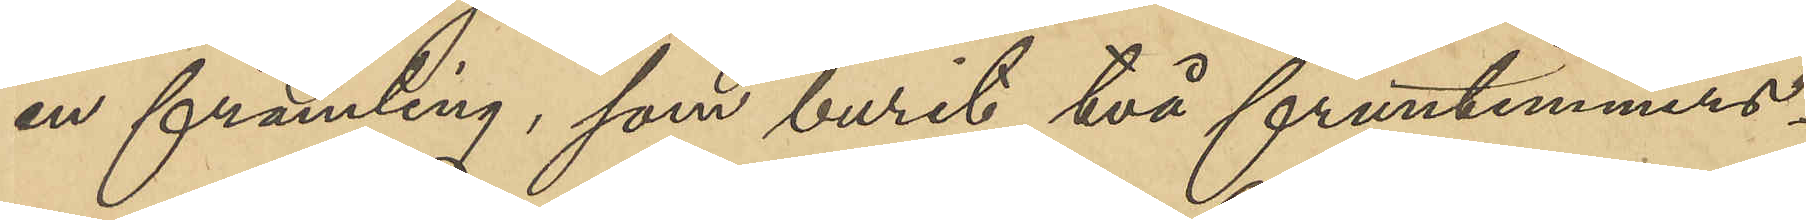en främling, som burit två fruntimmers¬
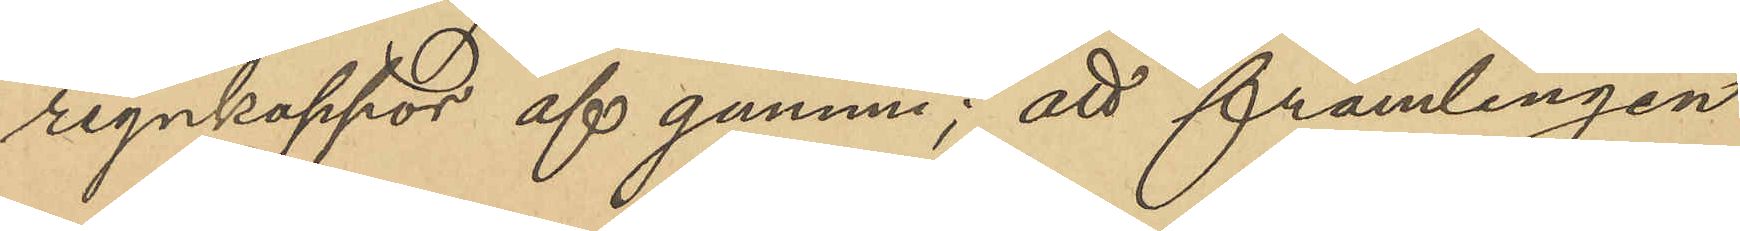regnkappor af gummi; att främlingen
